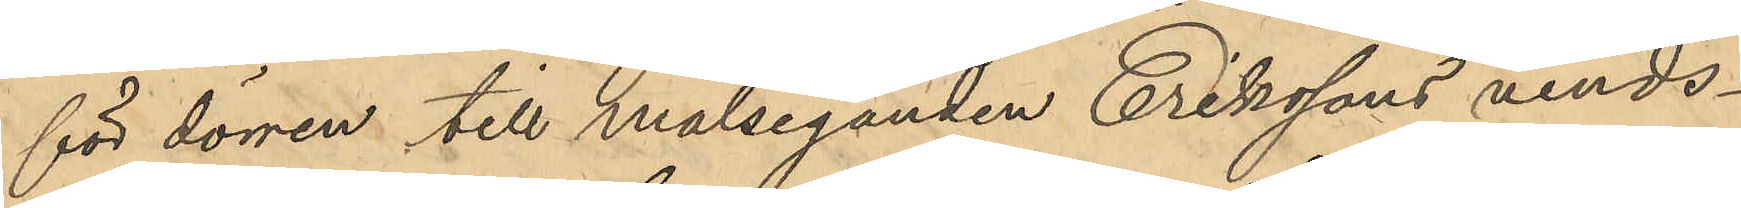för dörren till målseganden Erikssons vinds¬
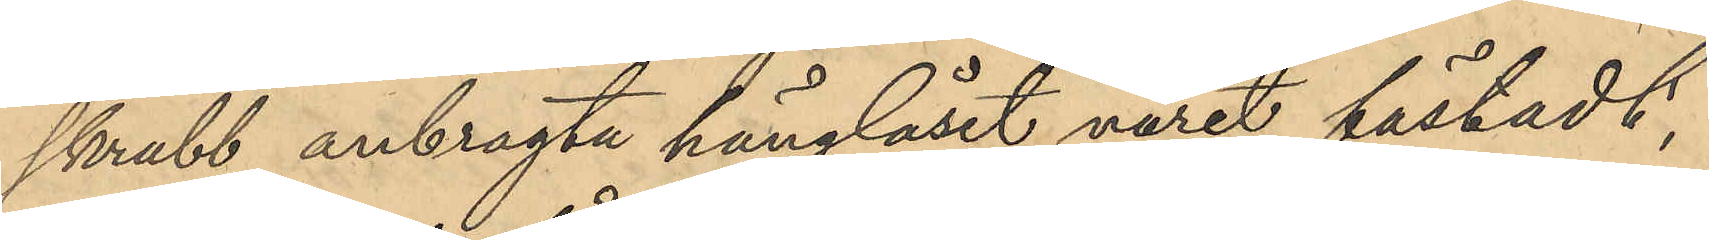skrubb anbragte hänglåset varit fästadt,
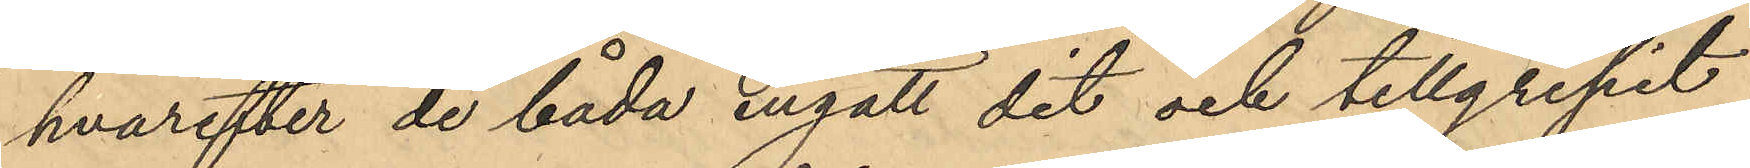hvarefter de båda ingått det och tillgripit
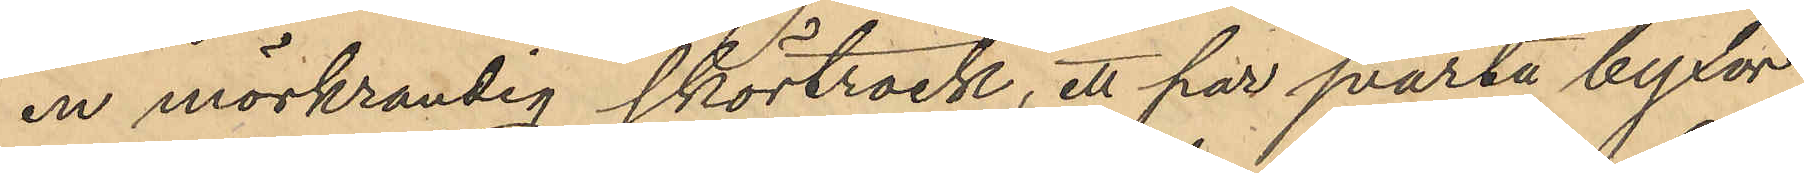en mörkrandig skörtrock, ett par svarta byxor
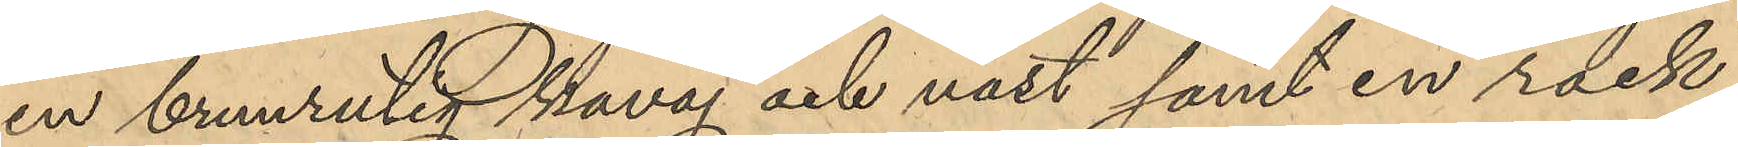en brunrutig kavaj och väst samt en rock,
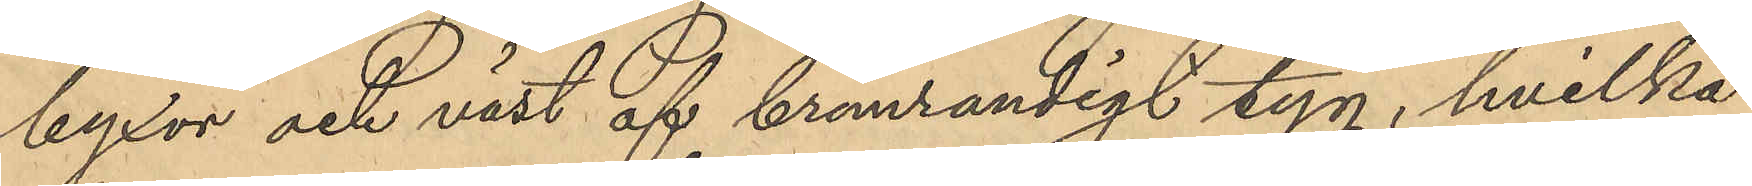byxor och väst af brunrandigt tyg, hvilka
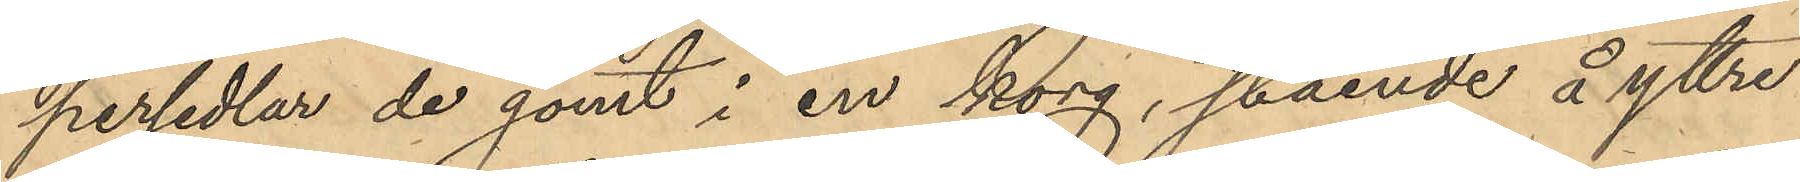persedlar de gömt i en korg, stående å yttre
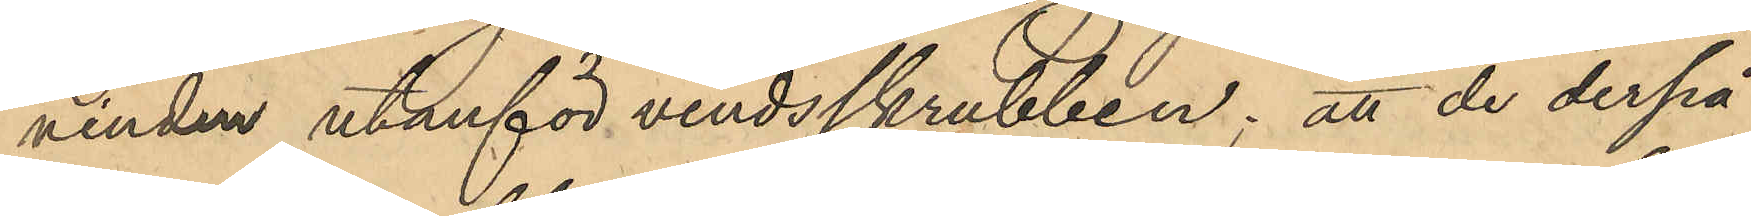vinden utanför vindsskrubben; att de derpå¬
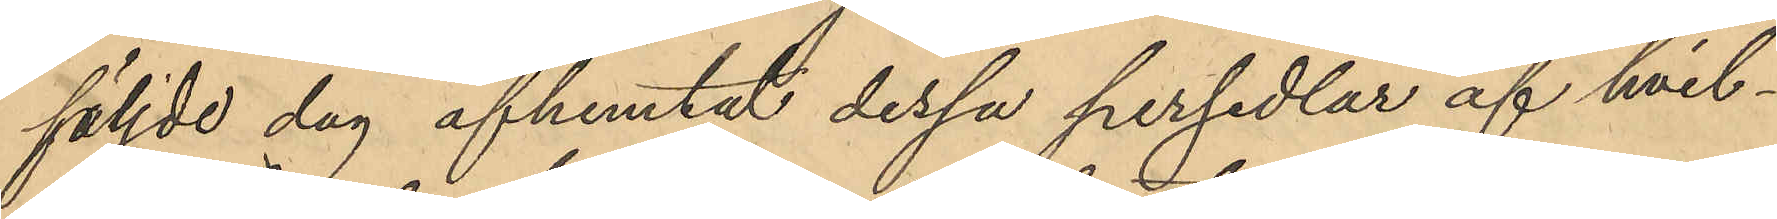följde dag afhemtat dessa persedlar af hvil¬
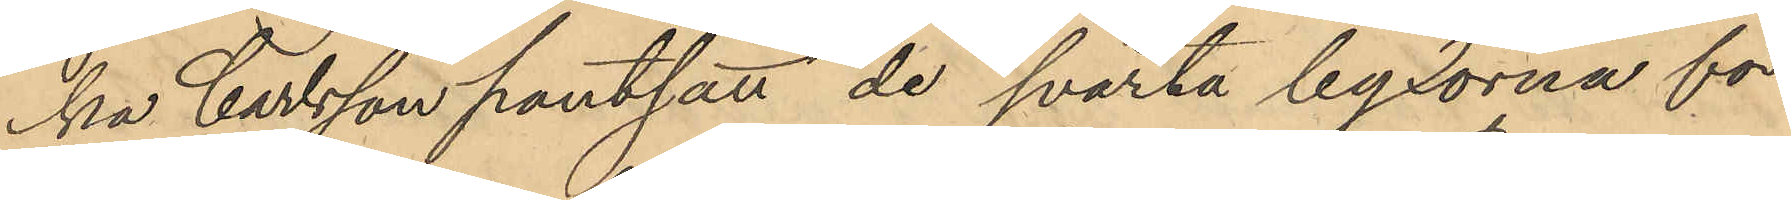ka Carlsson pantsatt de svarta byxorna för
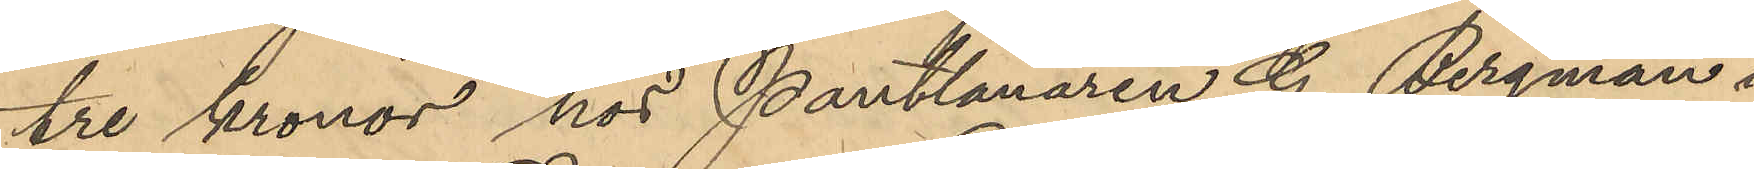tre kronor hos Pantlånaren G. Bergman i
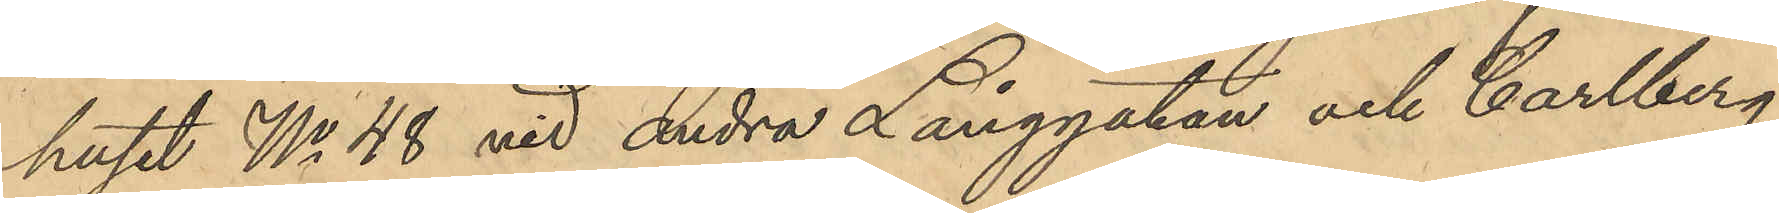huset No 48 vid Andra Långgatan och Carlberg
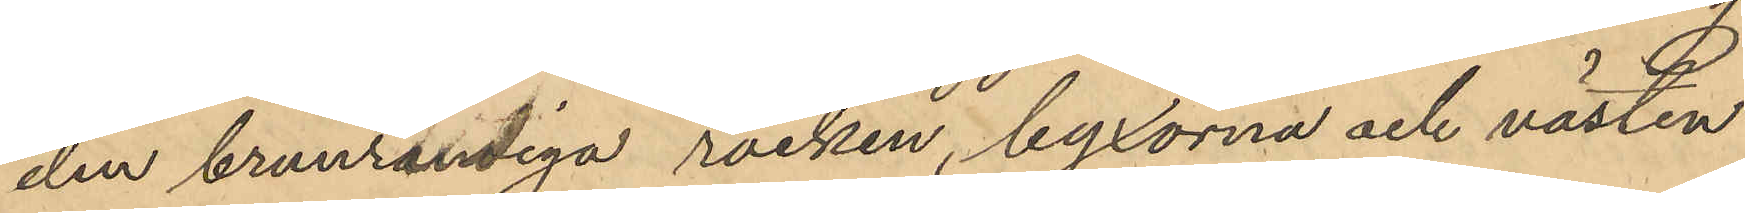den brunrandiga rocken, byxorna och västen
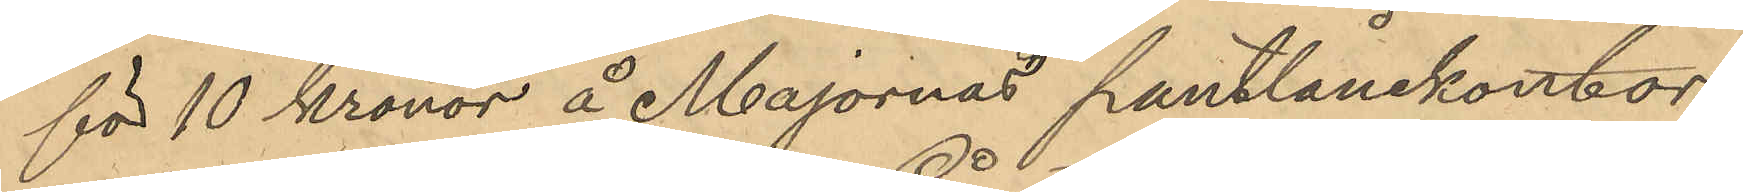för 10 kronor å Majornas pantlånekontor
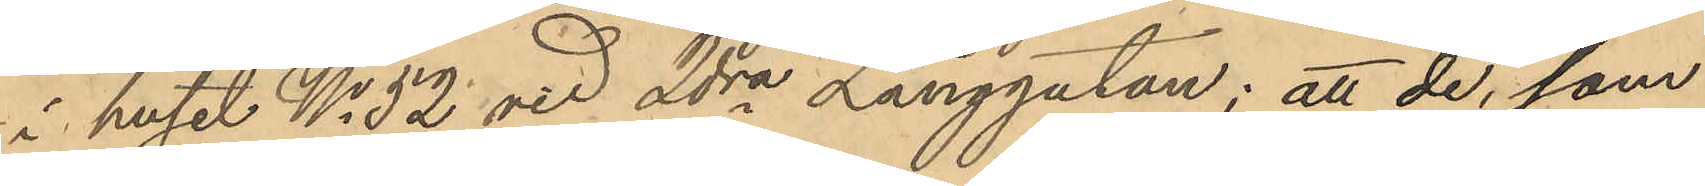i huset No 52 vid 2dra Långgatan; att de, som
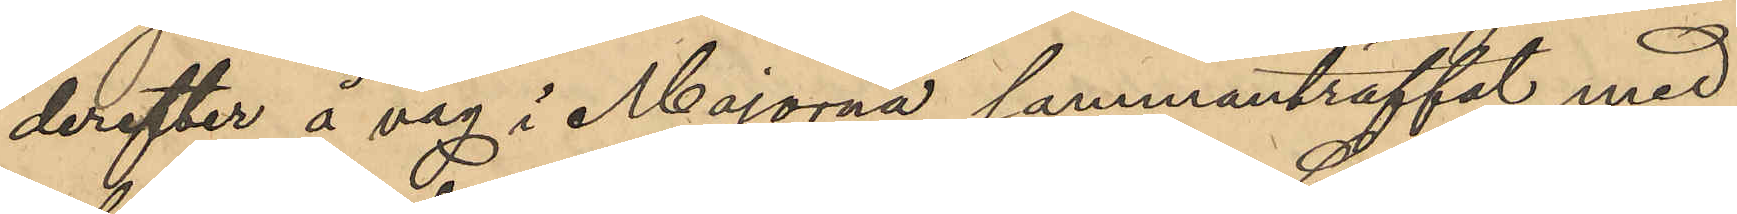derefter å väg i Majorna sammanträffat med
